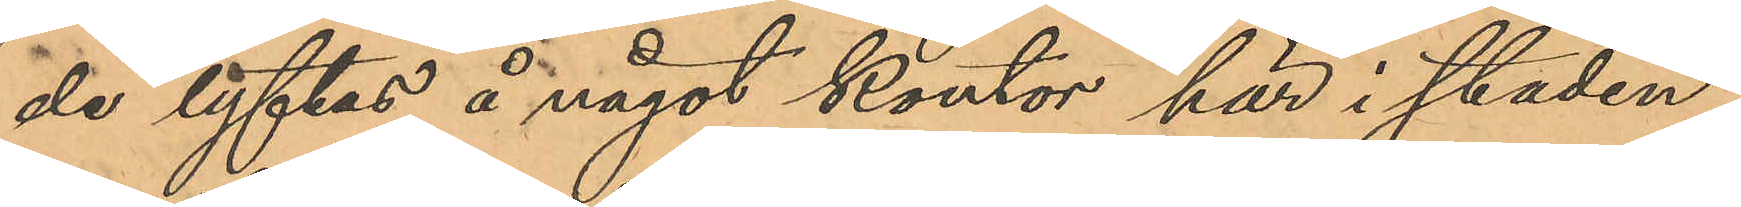de lyftas å något kontor här i staden,
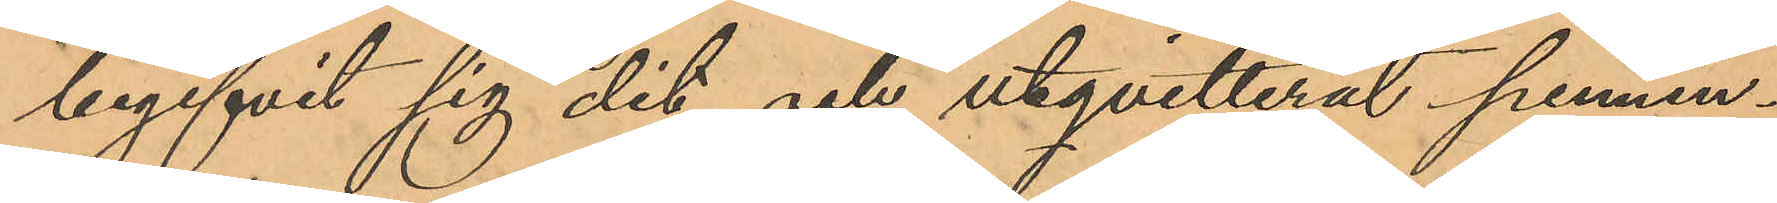begifvit sig dit och utqvitterat pennin¬
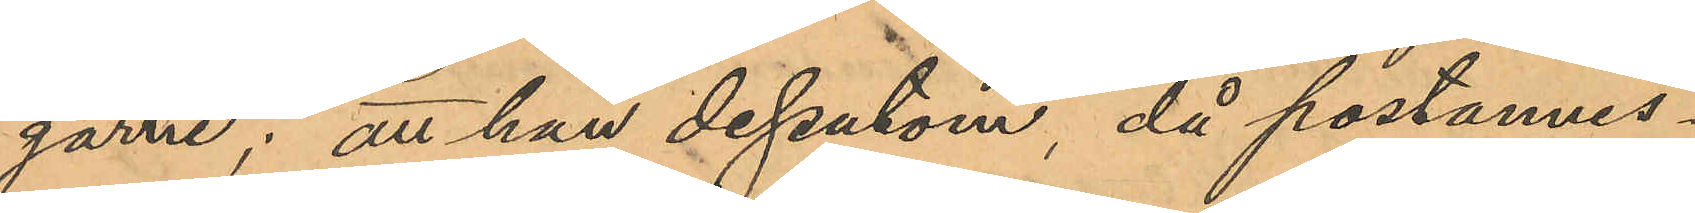garne; att han dessutom, då postanvis¬
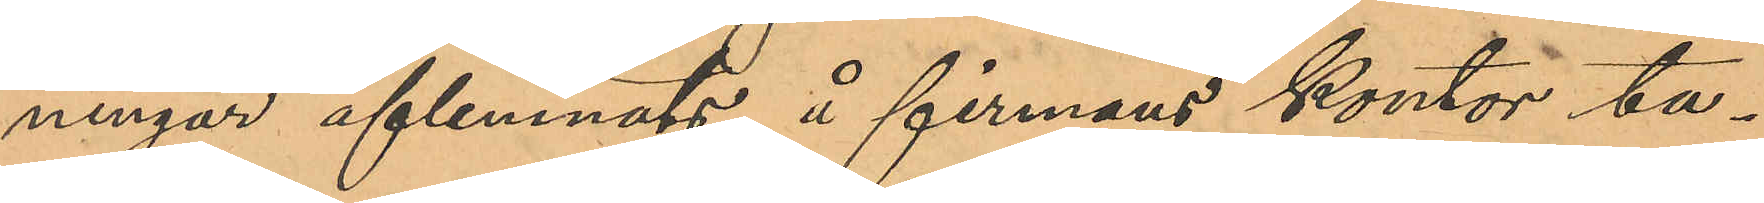ningar aflemnats å firmans kontor ta¬
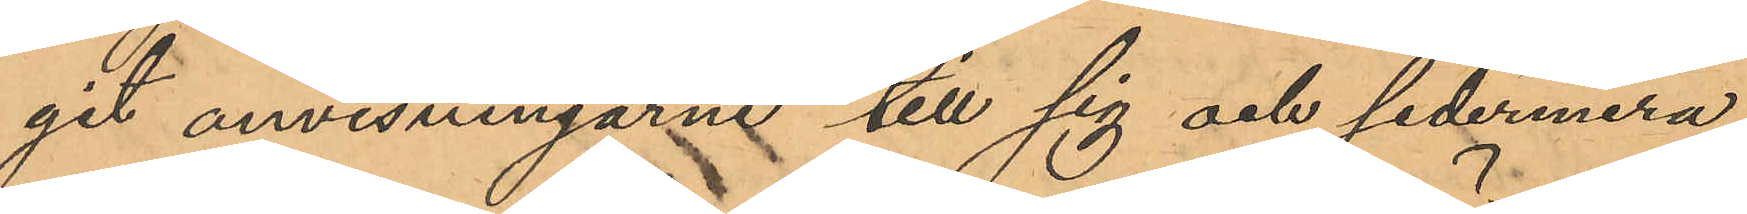git anvisningarne till sig och sedermera,
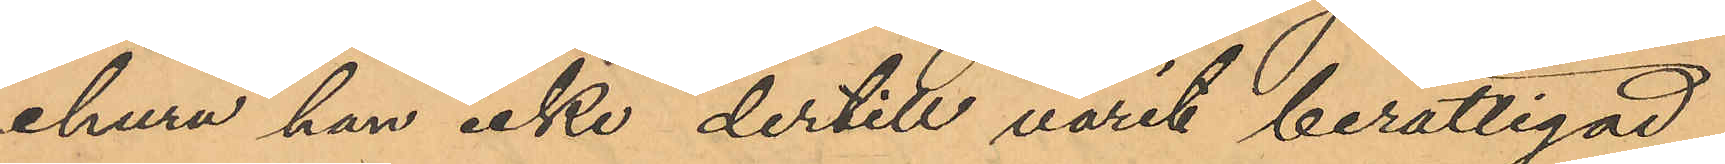ehuru han icke dertill varit berättigad,
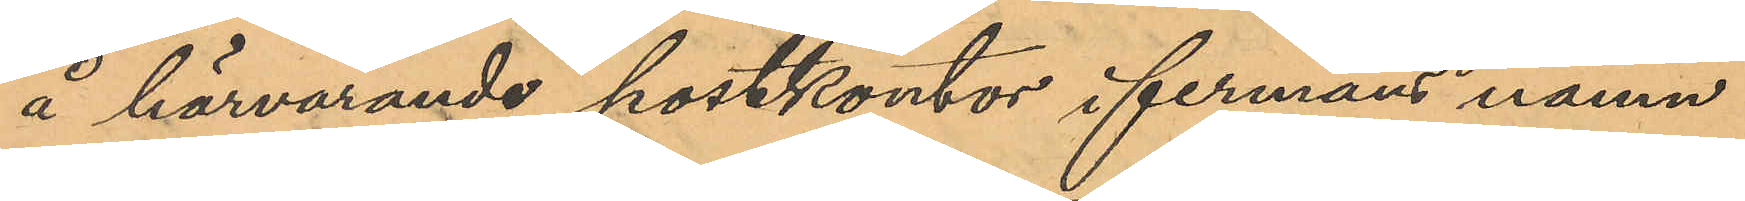å härvarande postkontor i firmans namn
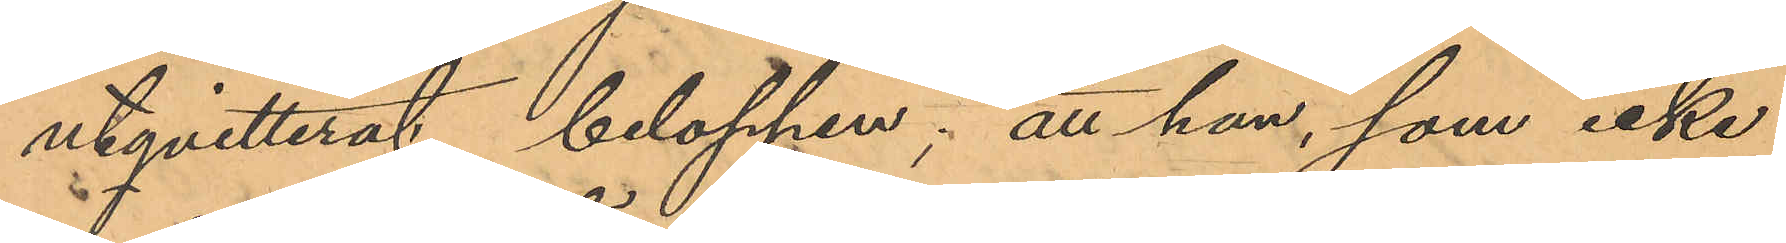utqvitterat beloppen; att han, som icke
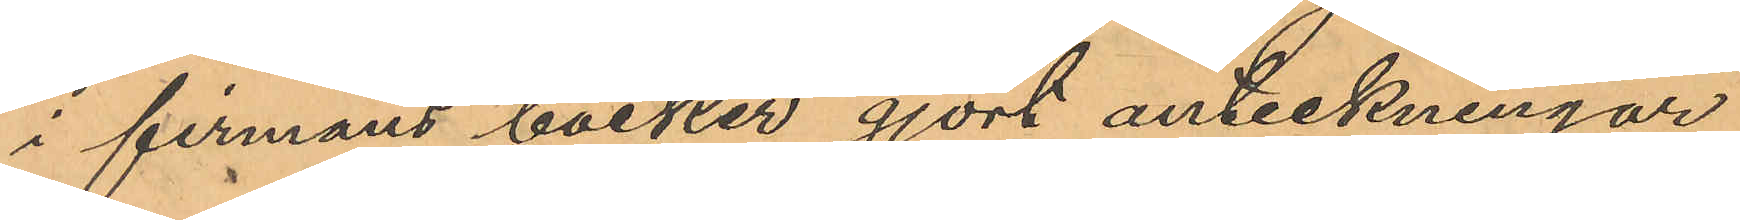i firmans böcker gjort anteckningar
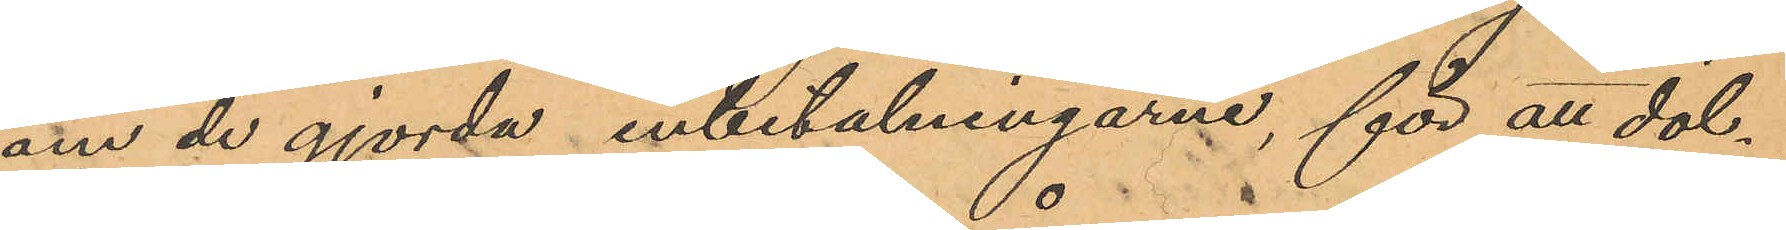om de gjorda inbetalningarne, för att döl¬
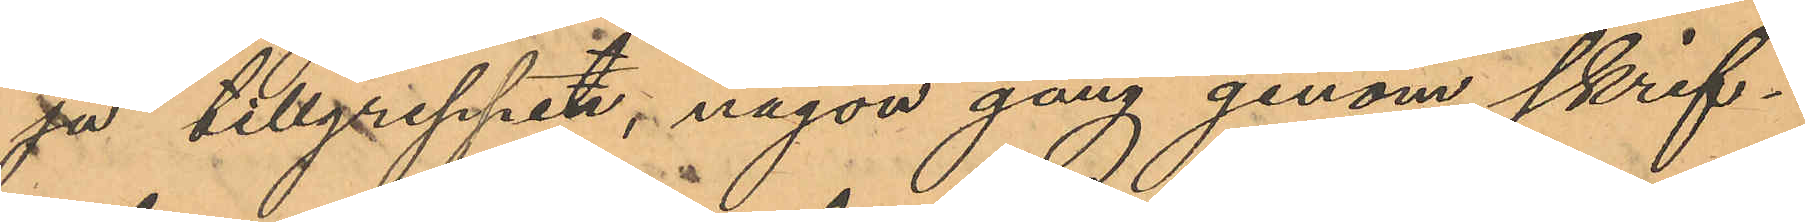ja tillgreppet, någon gång genom skrif¬
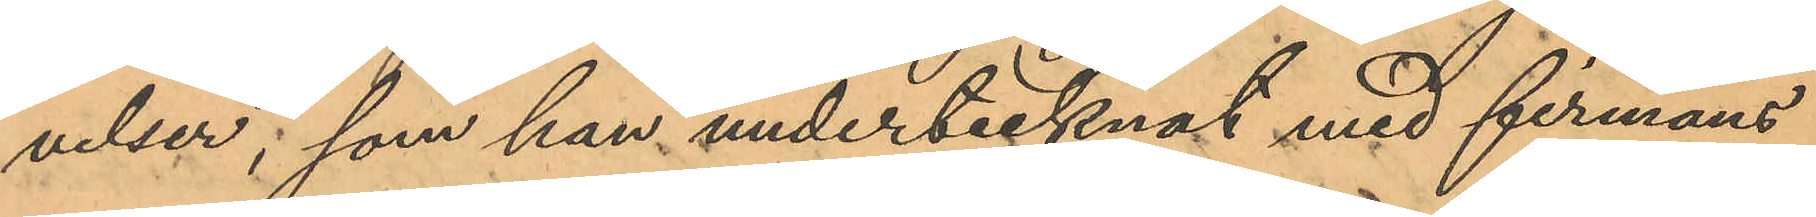velser, som han undertecknat med firmans
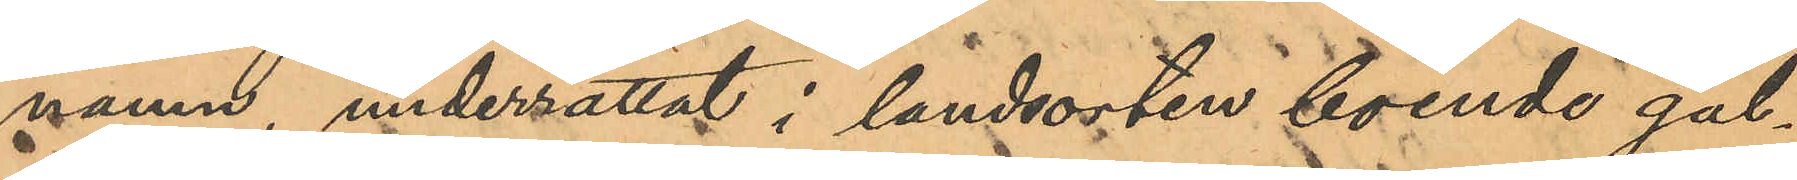namn, underrättat i landsorten boende gäl¬
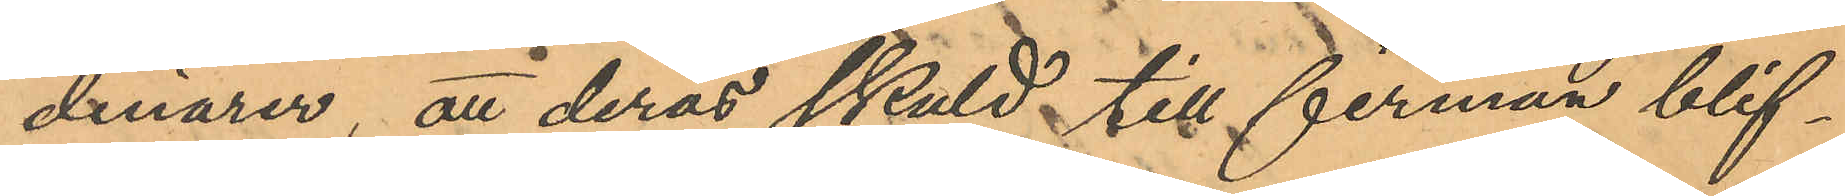denärer, att deras skuld till firman blif¬
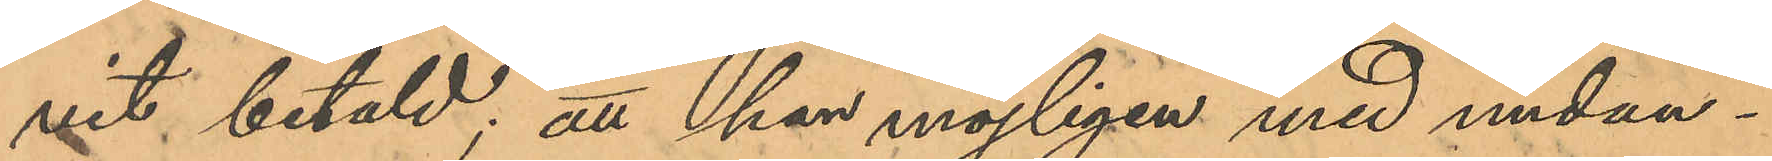vit betald; att han möjligen med undan
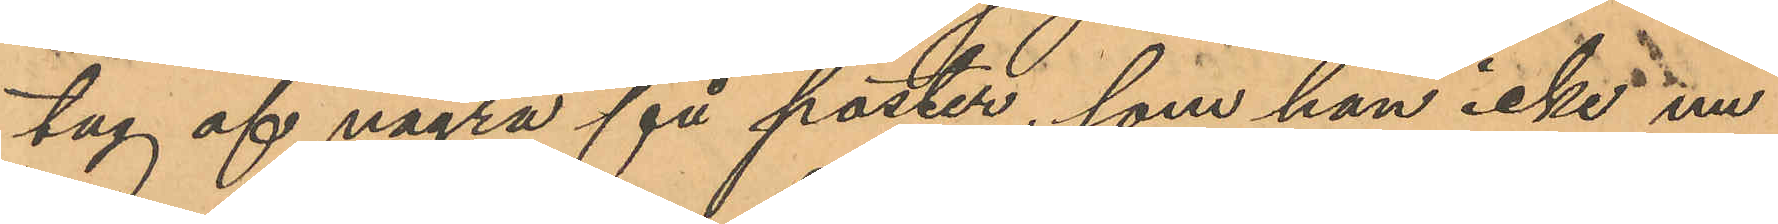tag af några få poster, som han icke nu
